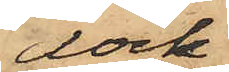dock
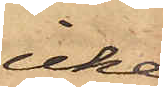icke
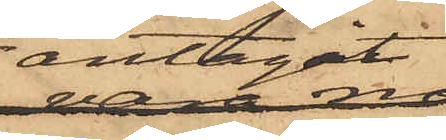antagit,
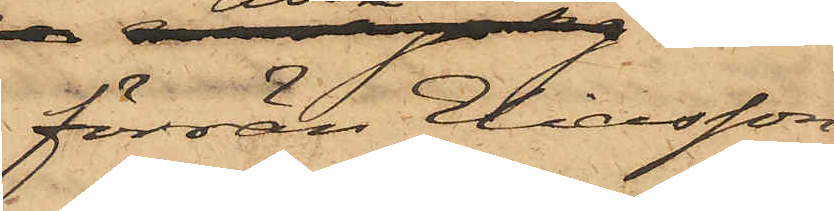förrän Eliasson
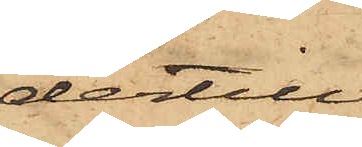dertill
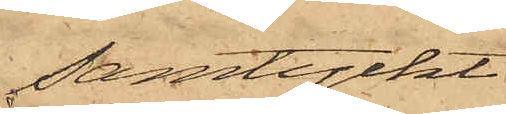samtyckt.
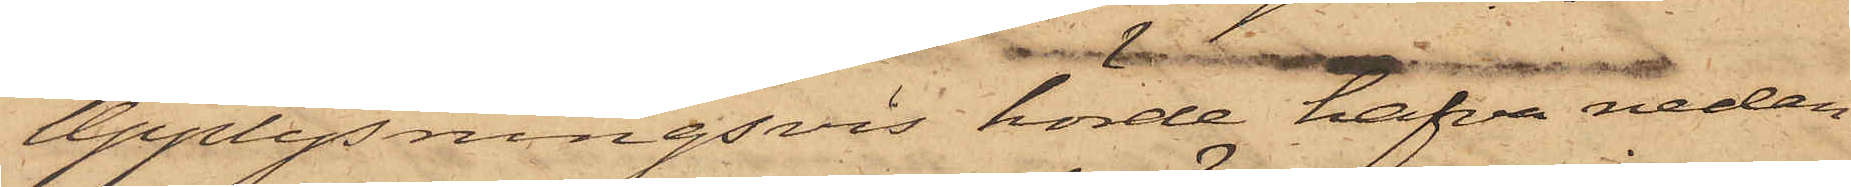Upplysningsvis hörde hafva nedan
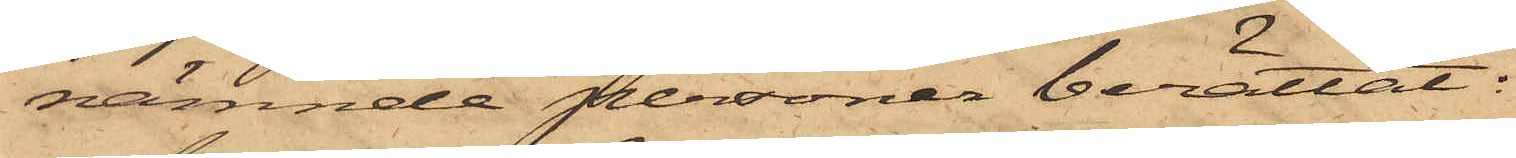nämnde personer berättat:
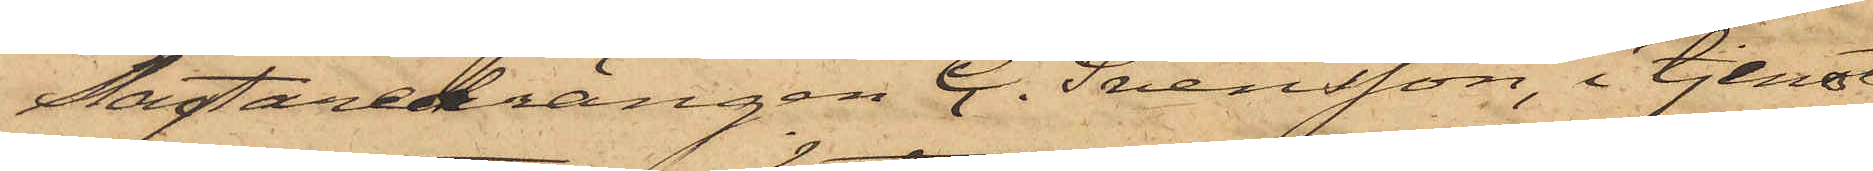Slagtaredrängen C. Svensson, i tjenst
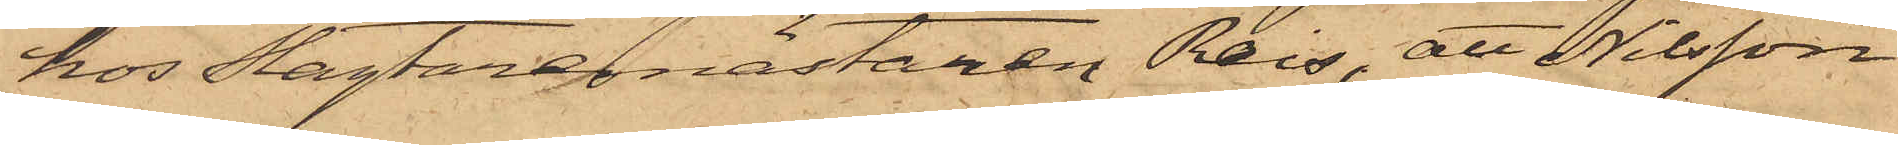hos Slagtaremästaren Reis, att Nilsson
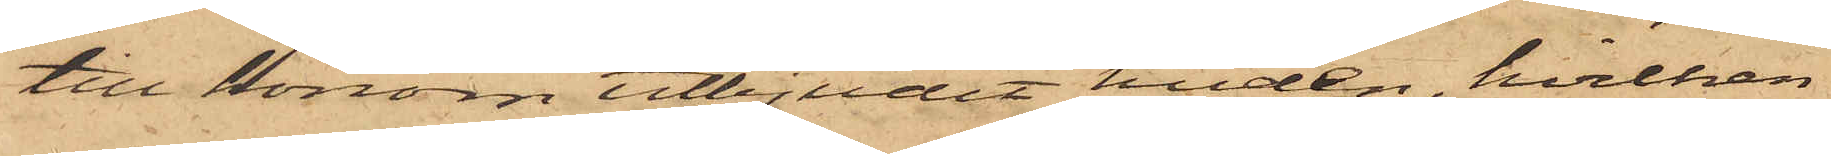till honom utbjudit huden, hvilken
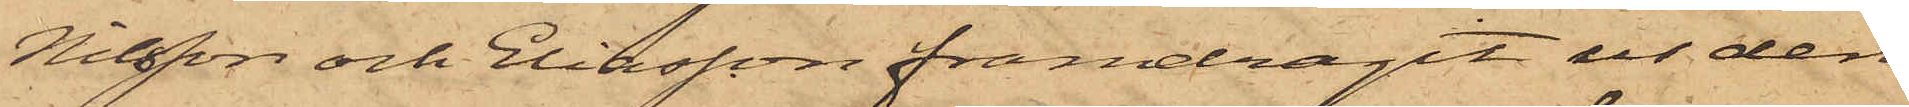Nilsson och Eliasson framdragit ur den
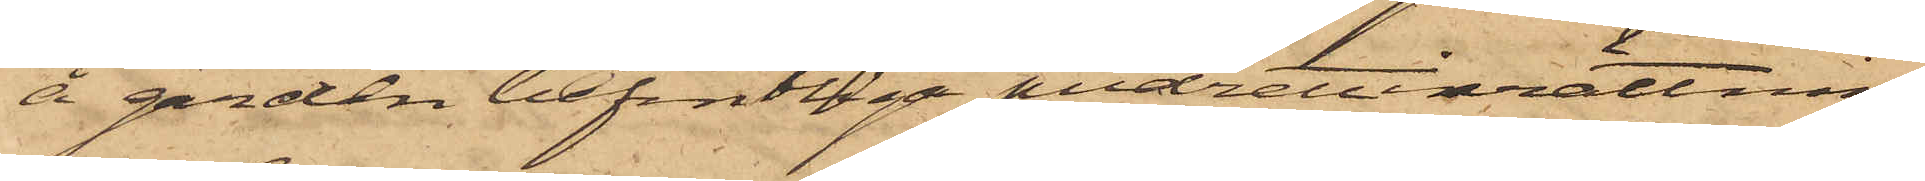å gården befintliga pudrettinrättnin¬
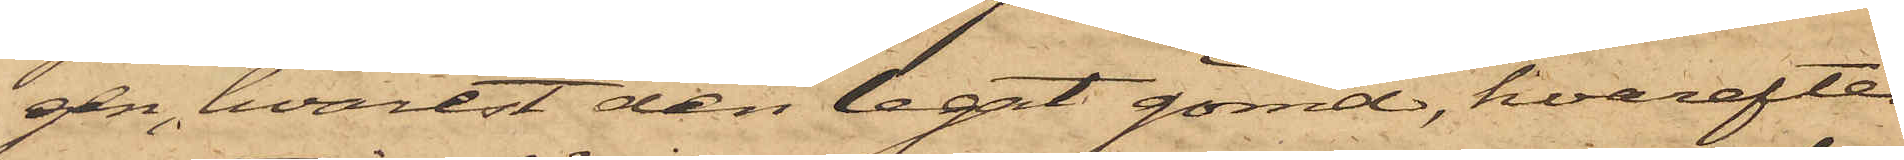gen, hvarest den legat gömd, hvarefter
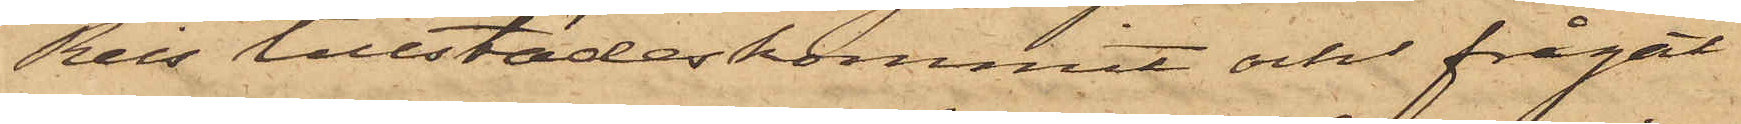Reis tillstädeskommit och frågat
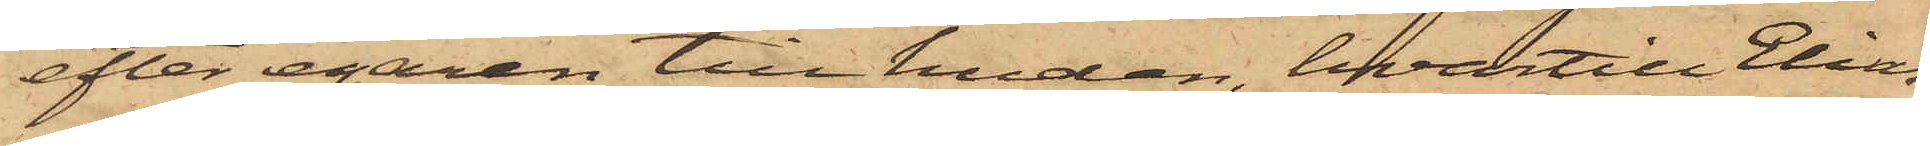efter egaren till huden, hvartill Elias¬
